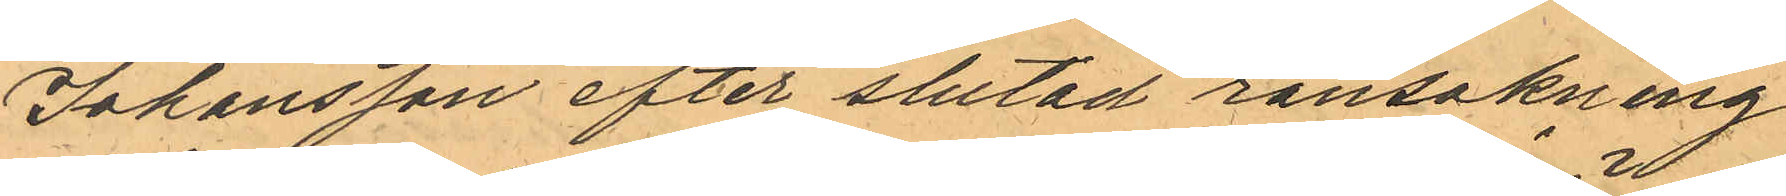Johansson efter slutad ransaknig
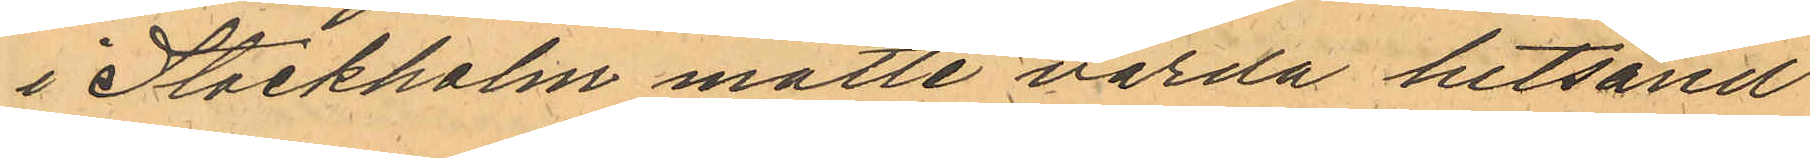i Stockholm måtte varda hitsänd
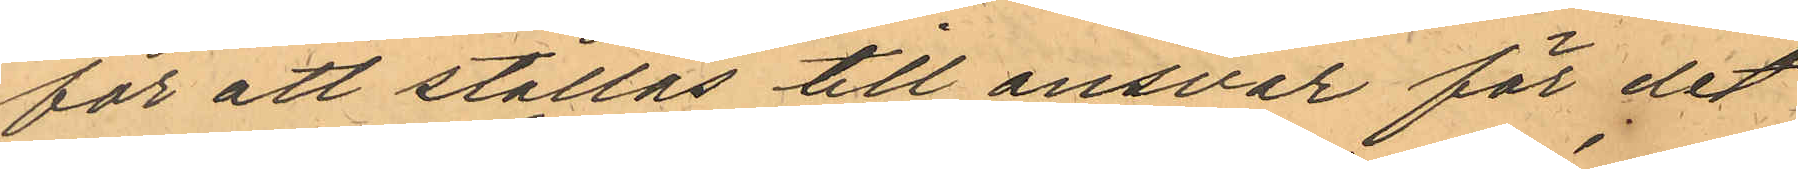för att ställas till ansvar för det
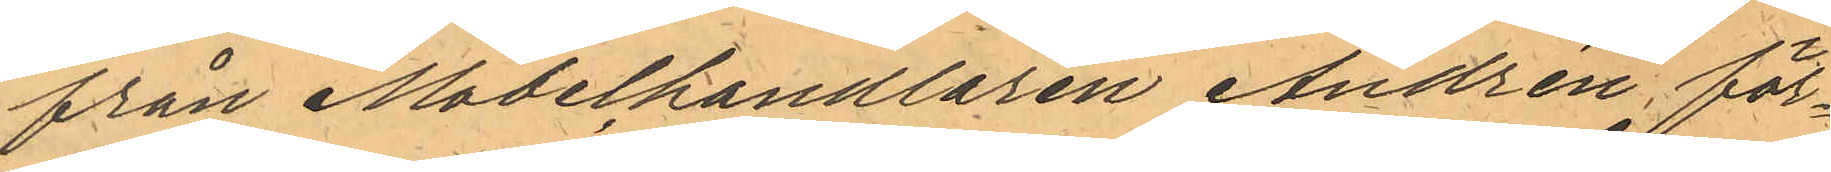från Möbelhandlaren Andrén för¬
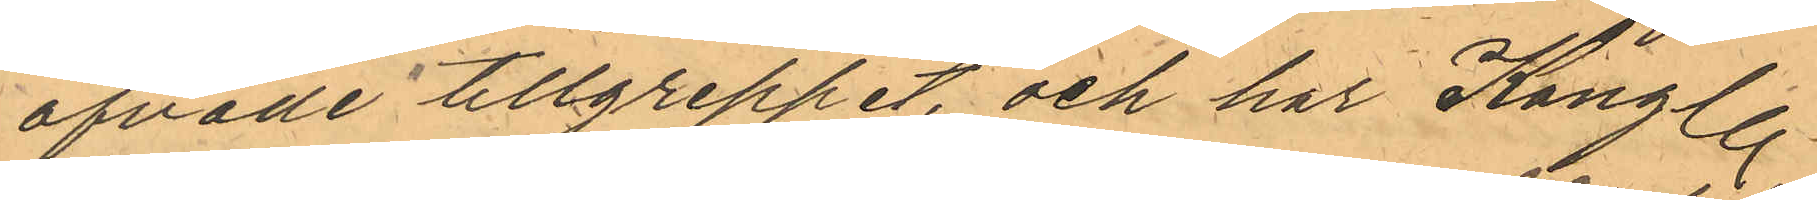öfvade tillgreppet, och har Kungl.
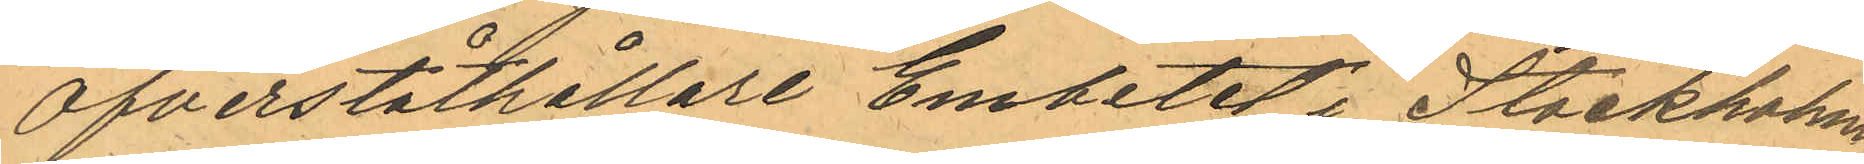Öfverståthållare Embetet i Stockholm
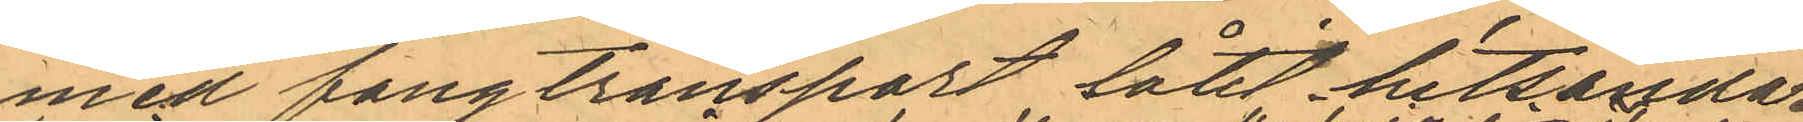med en fångtransport låtit hitsända
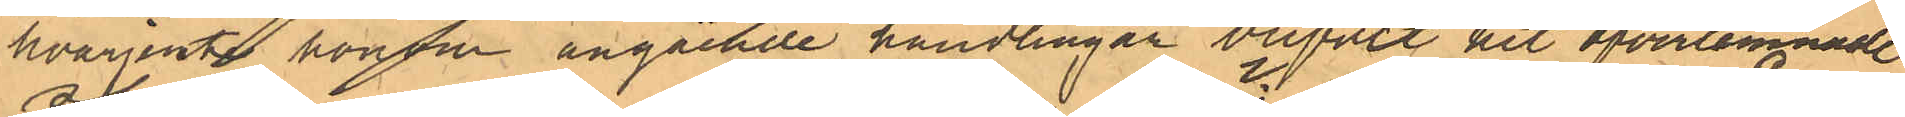hvarjemte honom angående handlingar blifvit hit öfverlemnade
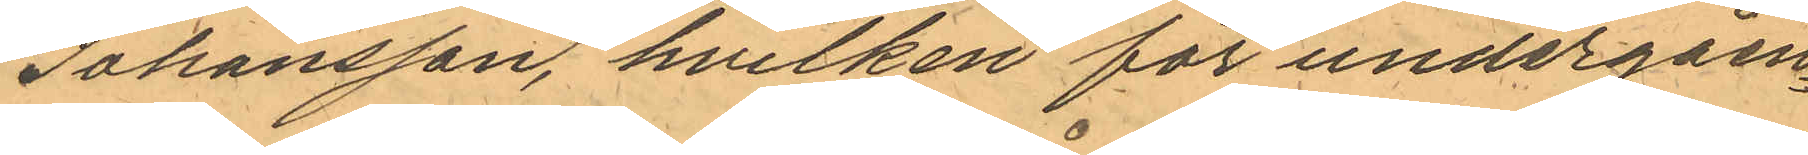Johansson, hvilken för undergåen¬
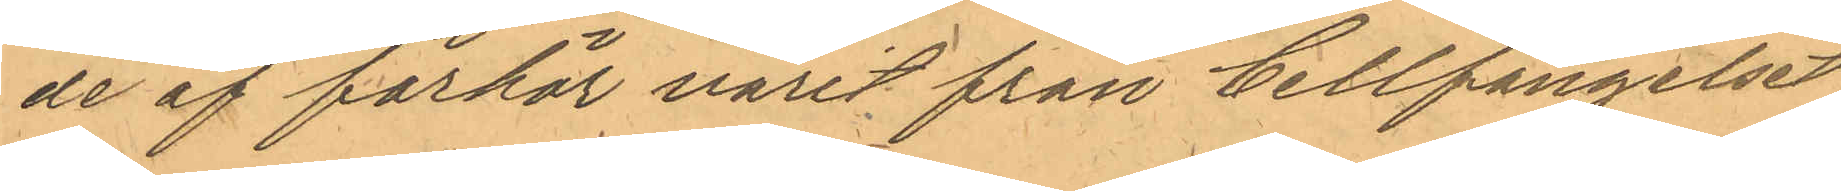de af förhör varit från Cellfängelset
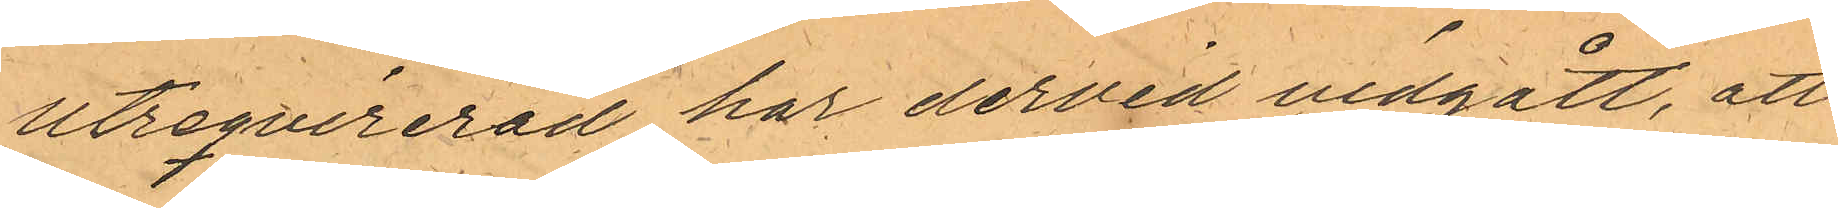utreqvirerad har dervid vidgått, att
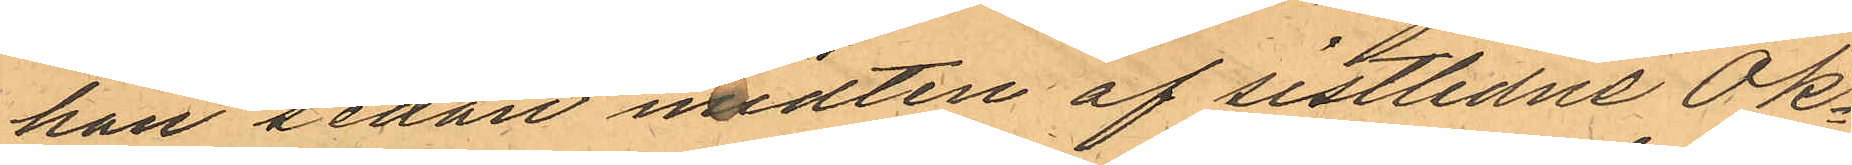han sedan midten af sistlidne Ok¬
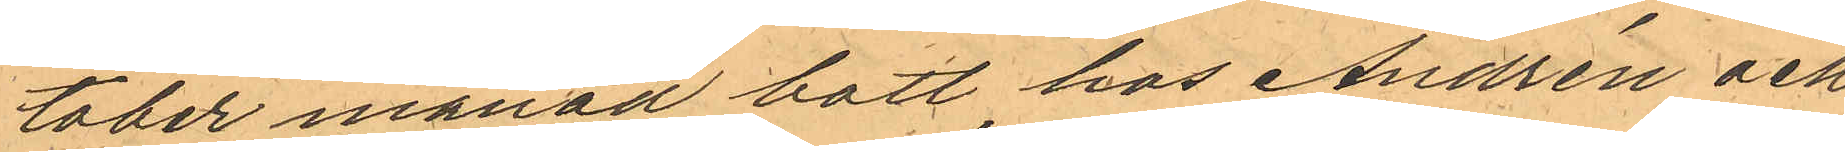tober månad bott hos Andrén och
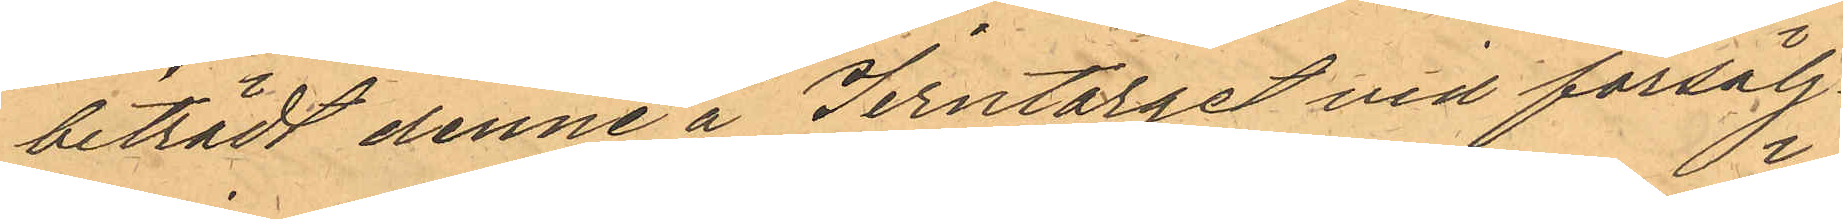biträdt denne å Jerntorget med försälj¬
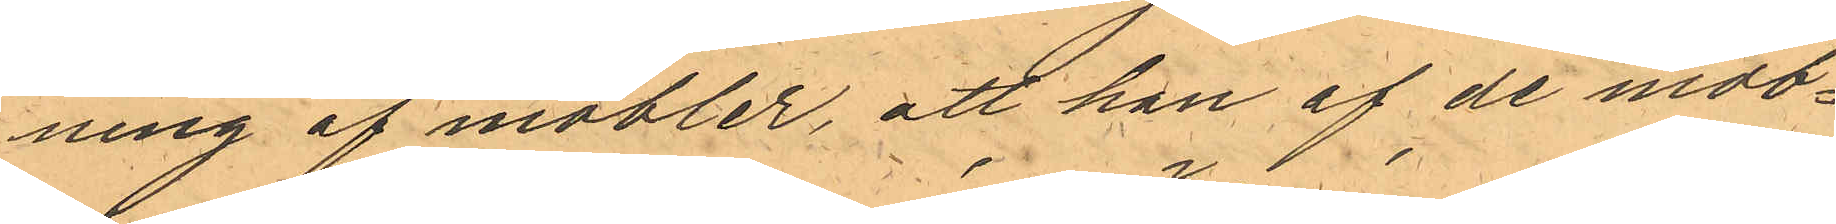ning af möbler, att han af de möb¬
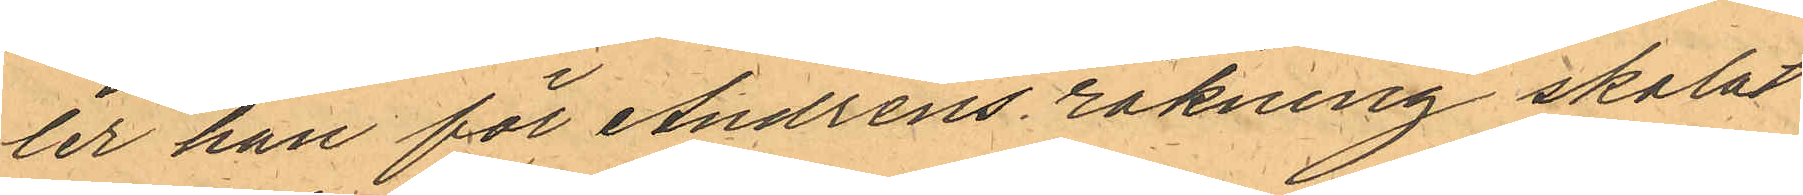ler han för Andréns räkning skolat
